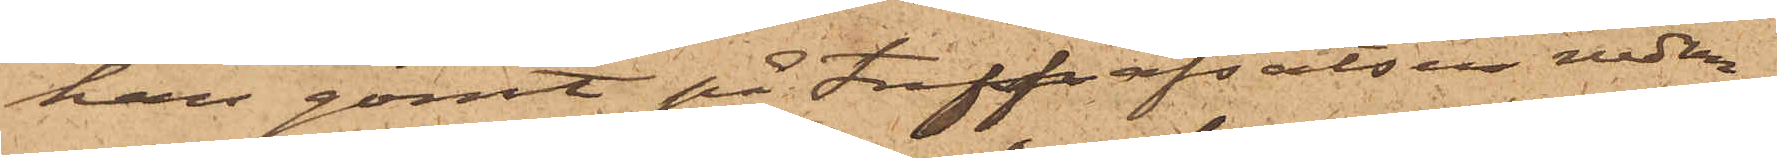han gömt på trappafsatsen nedan¬
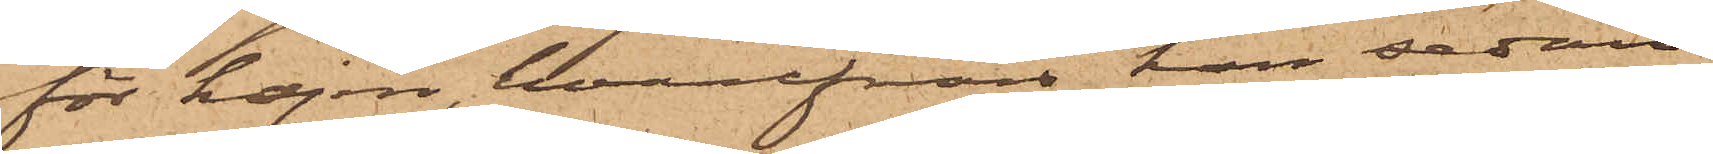för kajen, hvarifrån han sedan
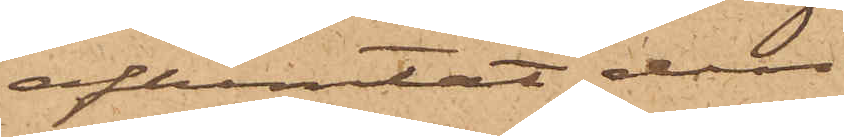afhemtat den.
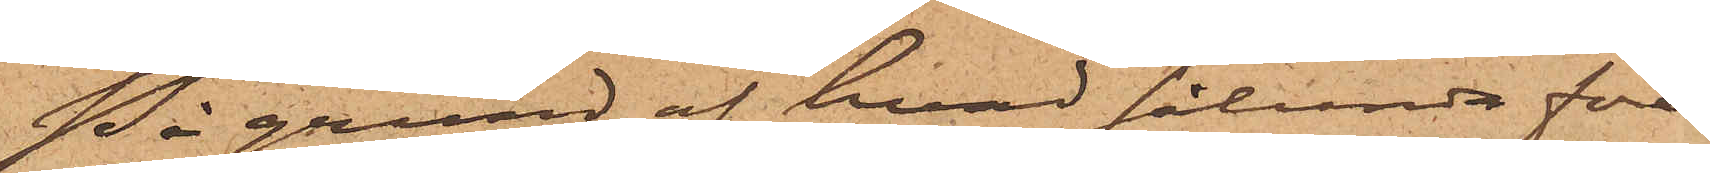På grund af hvad sålunda före¬
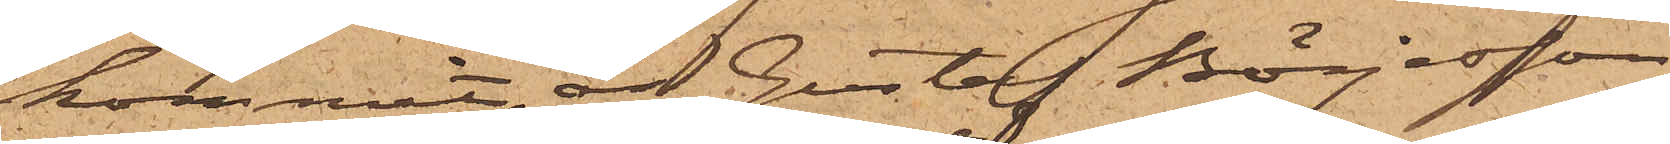kommit, är Gustaf Börjesson
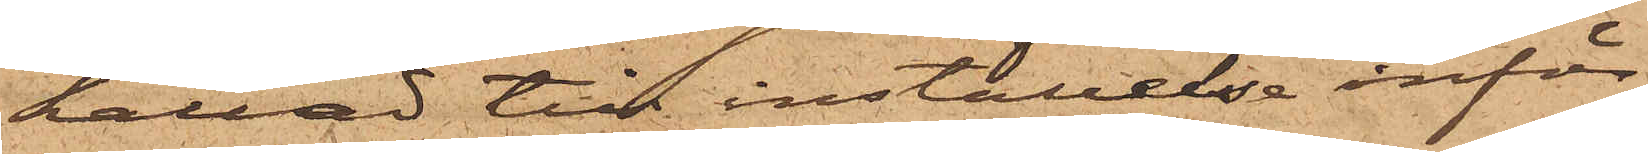kallad till inställelse inför
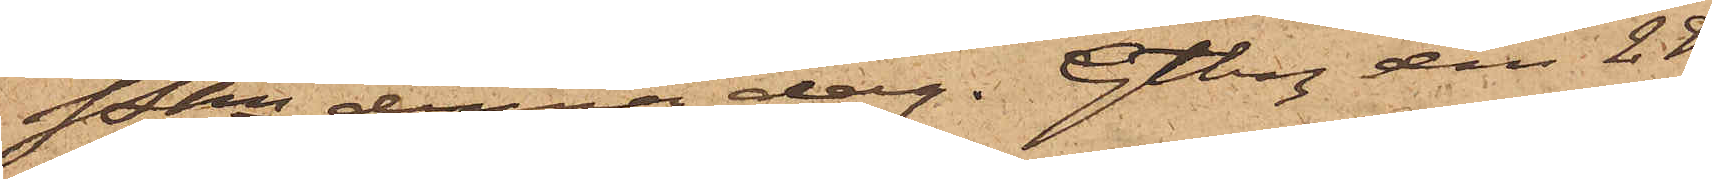Pkn denna dag. Gtbg den 28
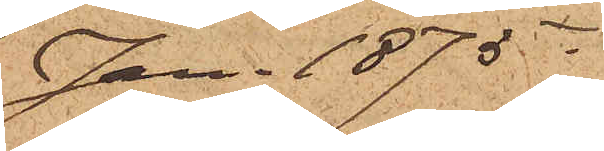Jan. 1875.
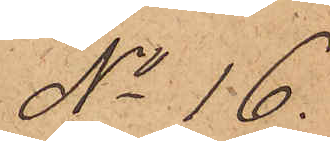No 16.
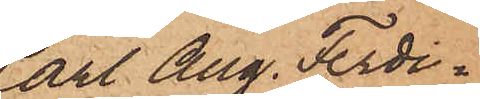Carl Aug. Ferdi¬
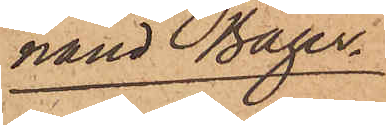nand Bager.
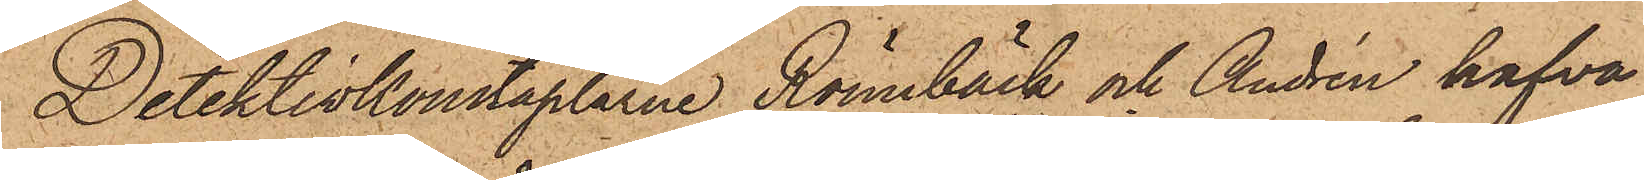Detektivkonstaplarne Rönnbäck och Andrén hafva
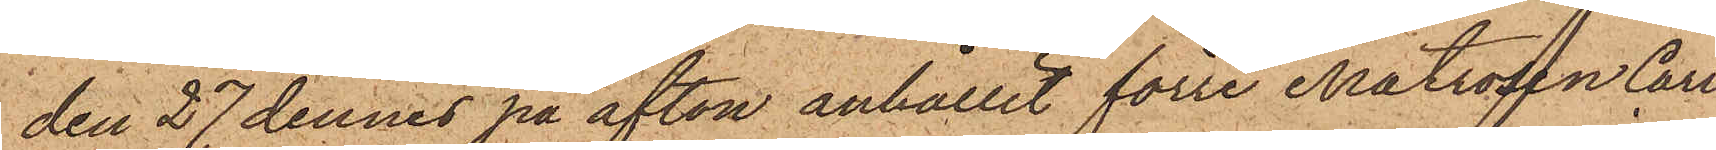den 27 dennes på afton anhållit förre Matrosen Carl
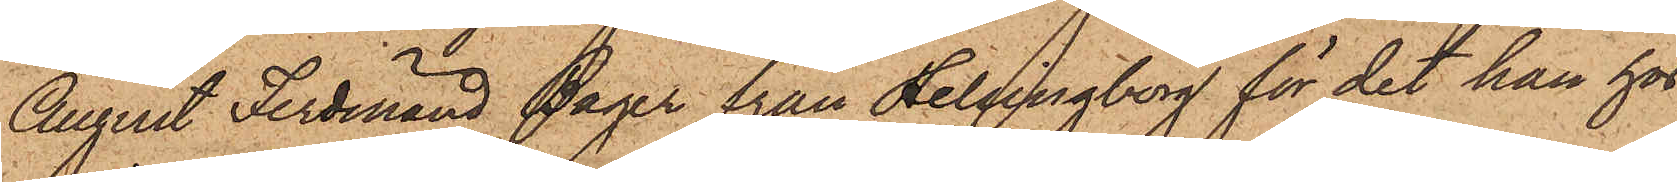August Ferdinand Bager från Helsingborg för det han hos
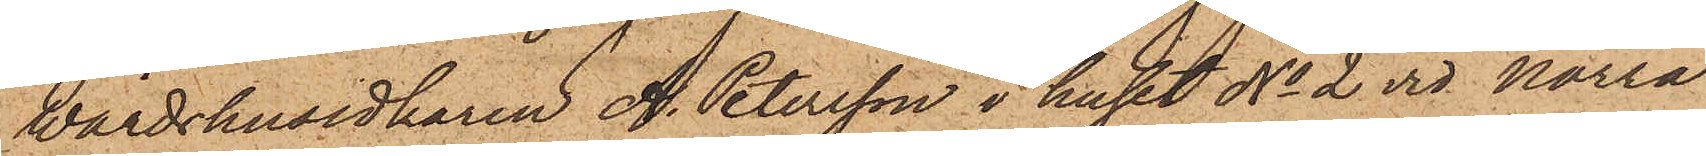Wärdshusidkaren A. Petersson i huset No 2 vid Norra
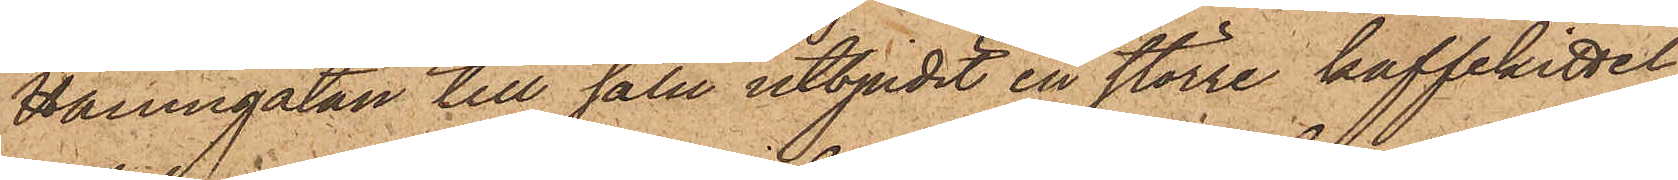Hamngatan till salu utbjudit en större kaffekittel
